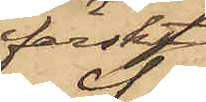färskt
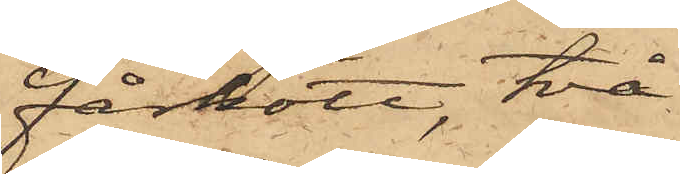fårkött, två
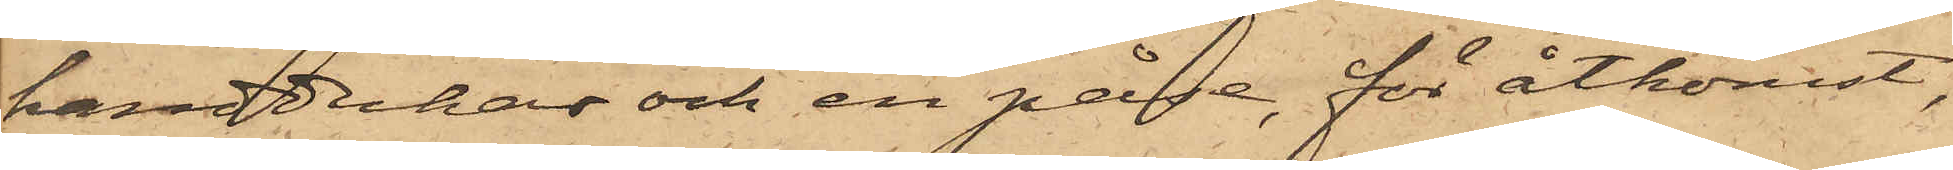handdukar och en påse, för åtkomst,
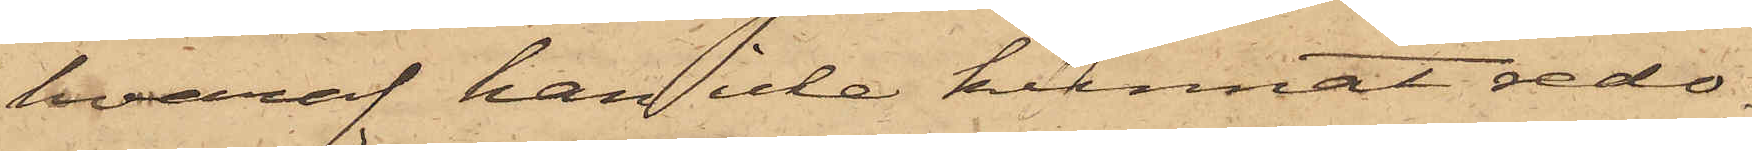hvaraf han icke kunnat redo¬
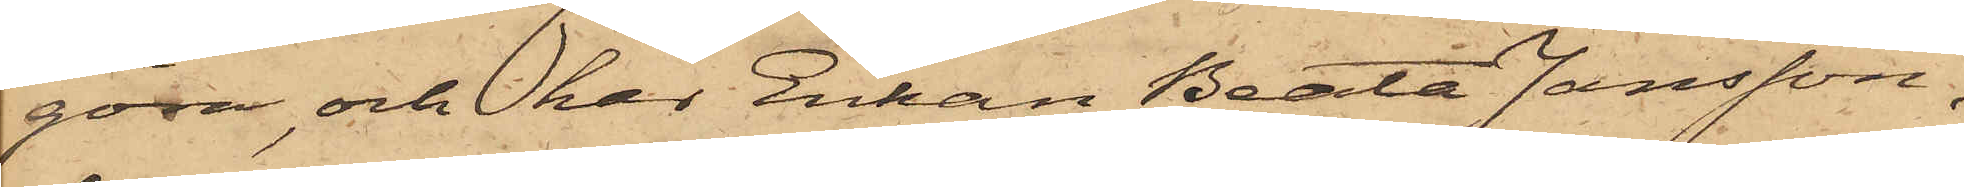göra, och har Enkan Beata Jansson,
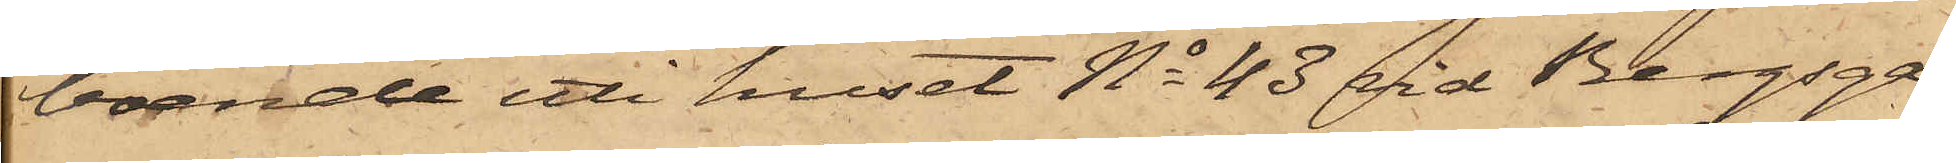boende uti huset No 43 vid Bergsga¬
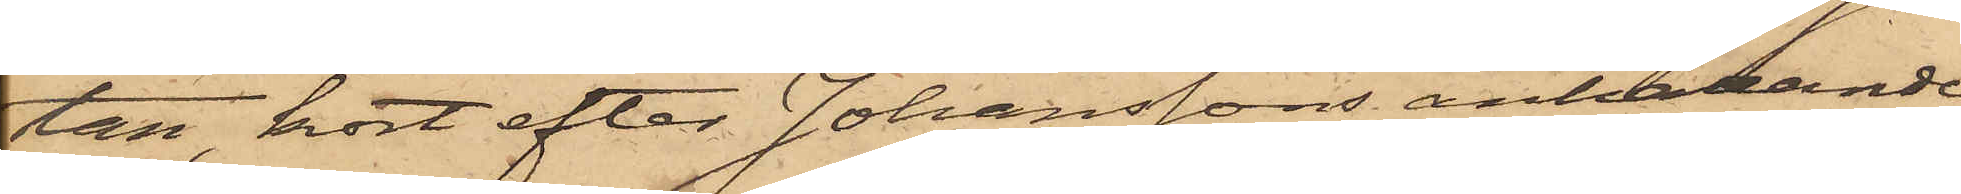tan, kort efter Johanssons anhållande,
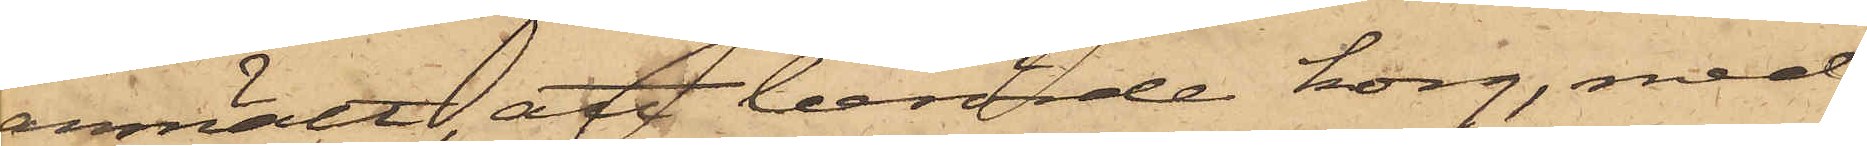anmält, att berörde korg, med
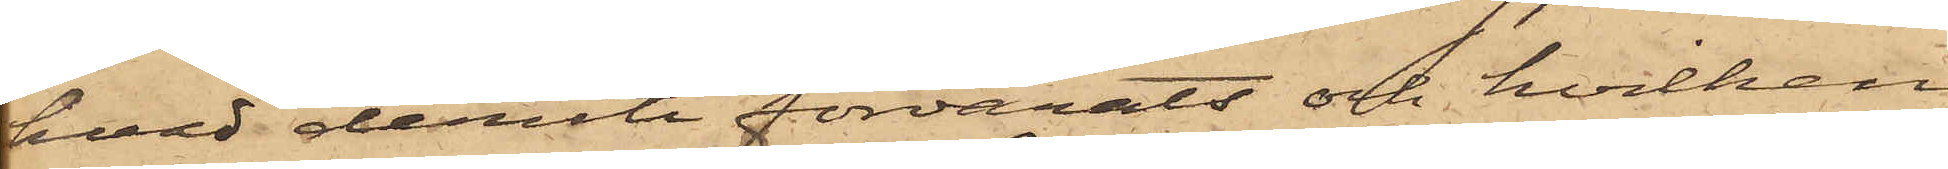hvad deruti förvarats och hvilken
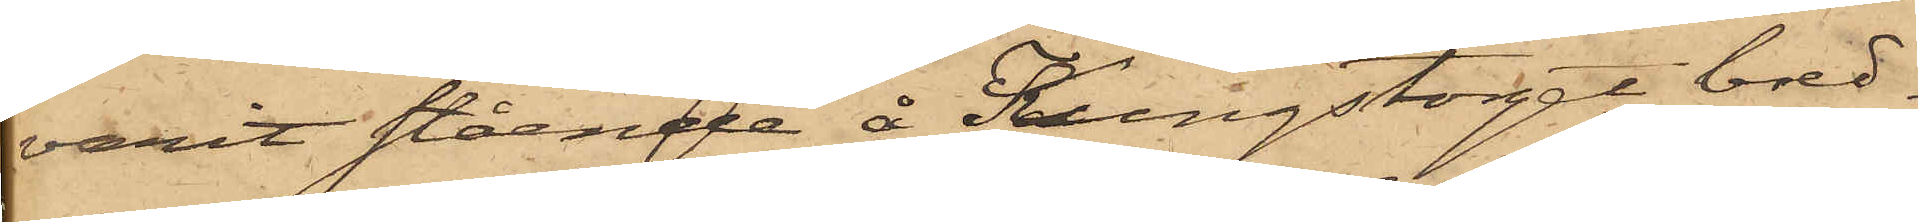varit stående å Kungstorget bred¬
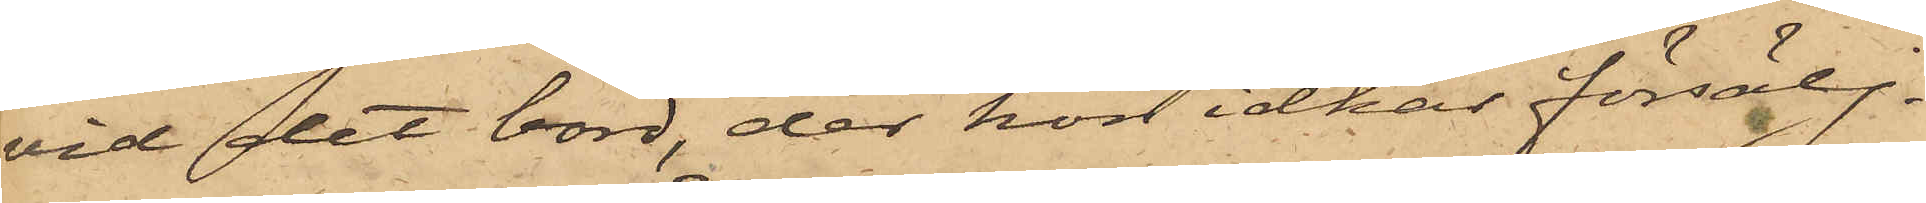vid det bord, der hon idkar försälj¬
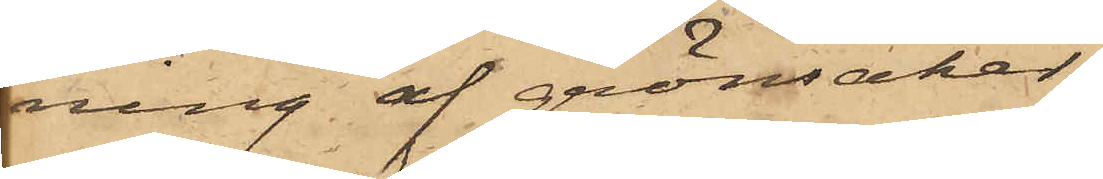ning af grönsaker,
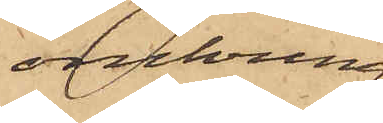omkring
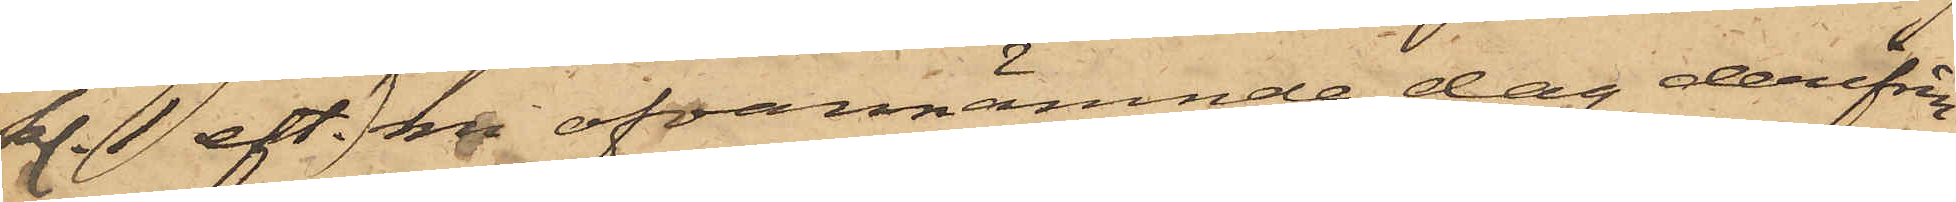kl. 1 eft. m. ofvannämnde dag derifrån
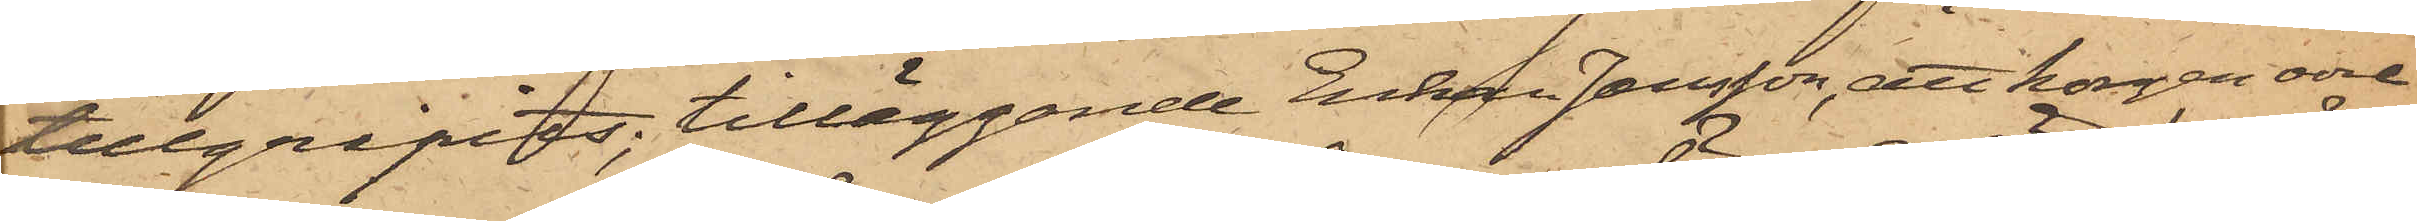tillgripits; tilläggande Enkan Jansson, att korgen vore
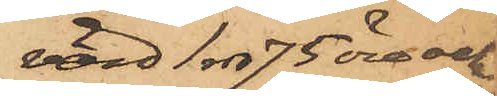värd 1 rd 75 öre och
